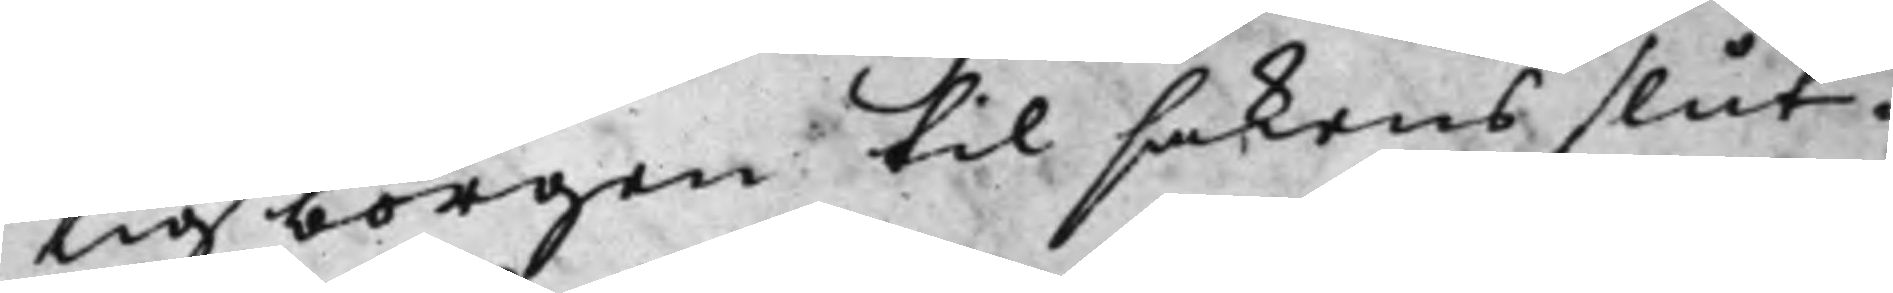tig borgen til sakens slut.
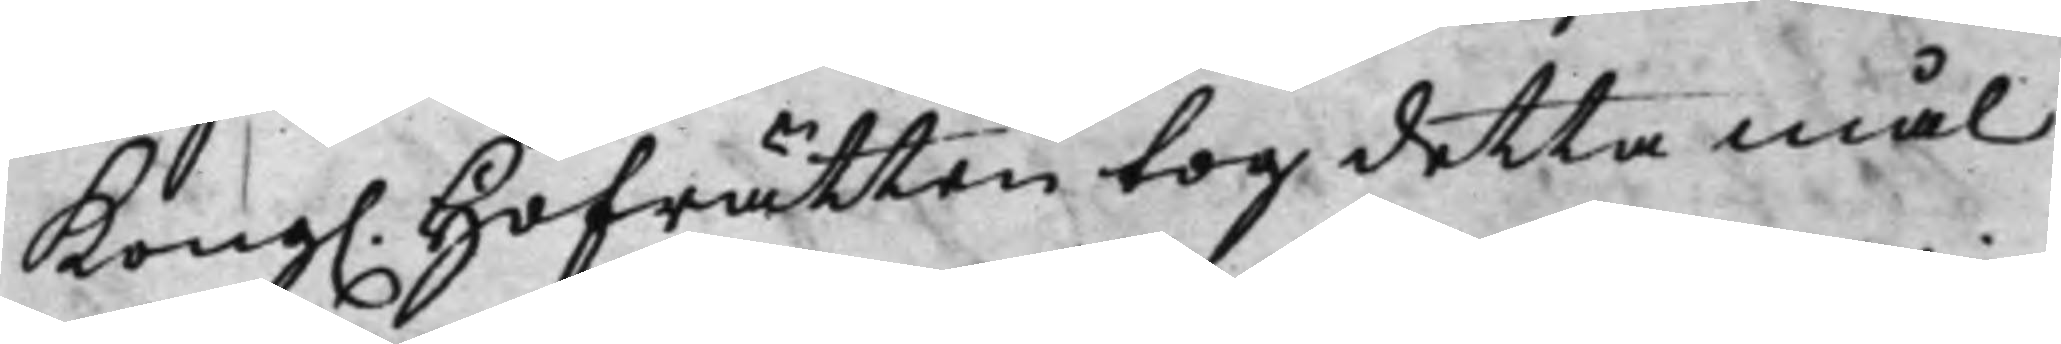Kong. Hofrätten tog detta mål
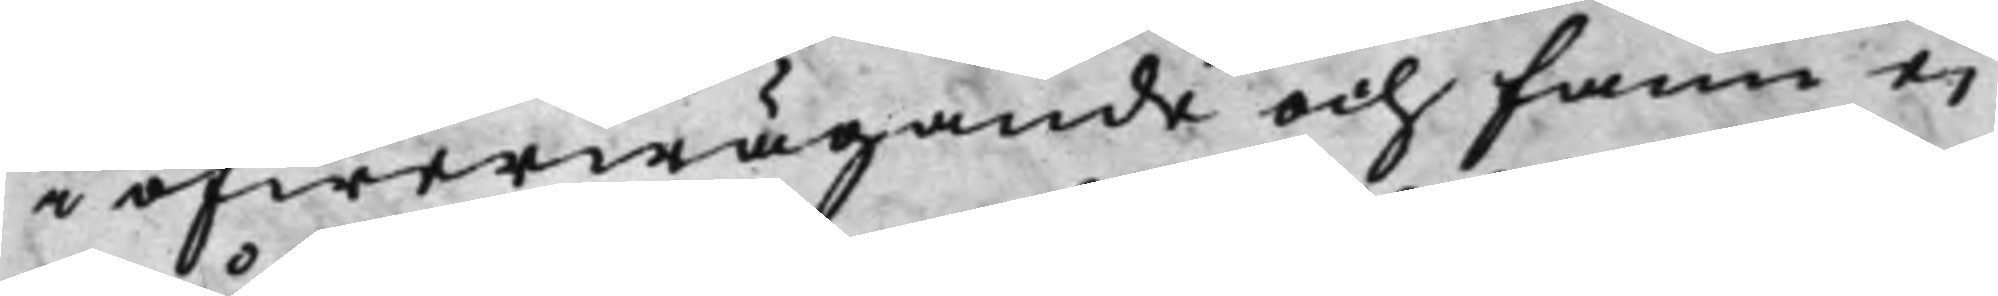i öfwerwägande och fann ej
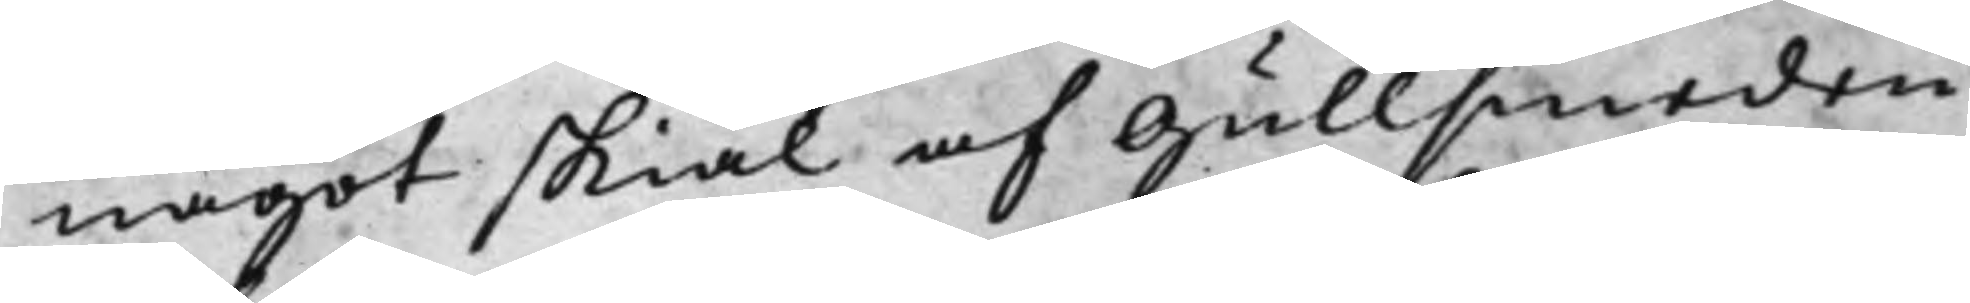något skiäl af Gullsmeden
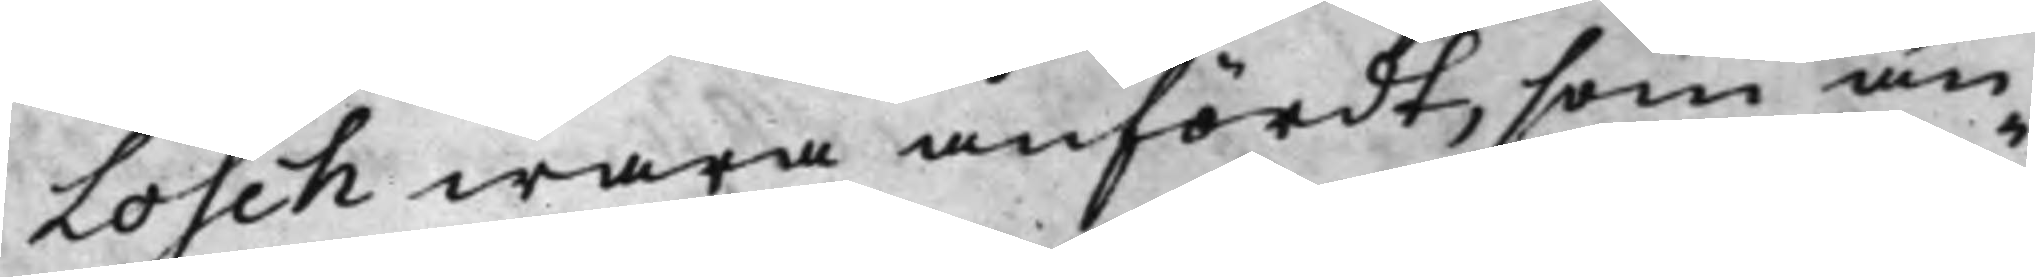Losch wara anfördt, som än¬
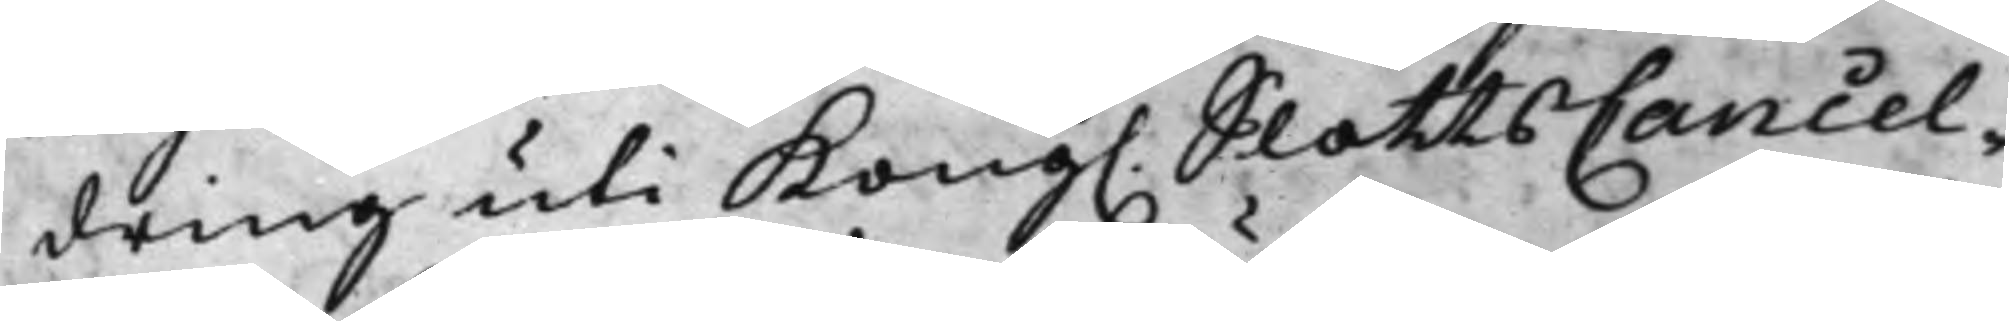dring uti Kong. SlottsCancel¬
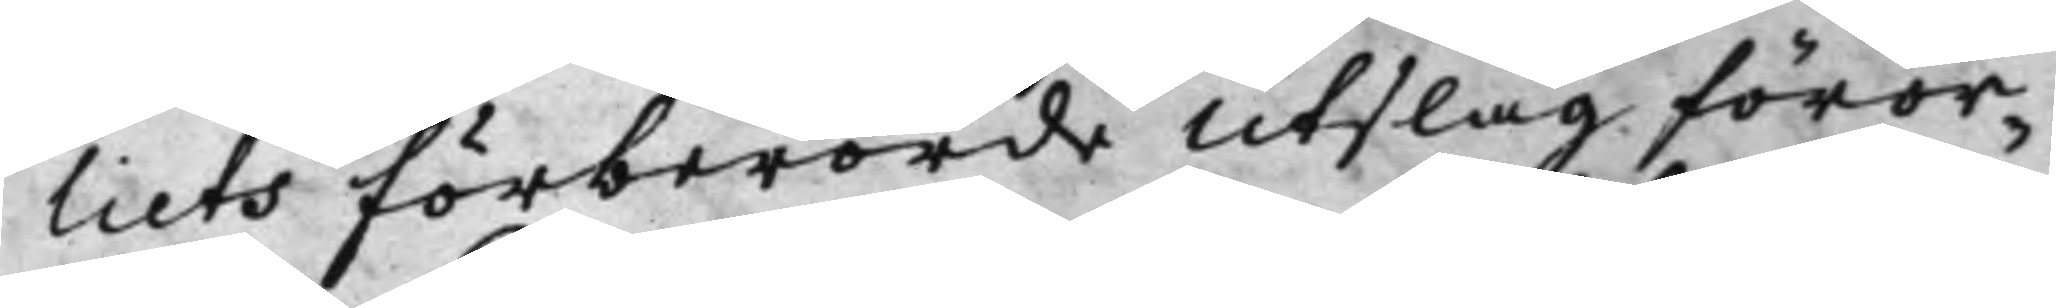liets förberörde Utslag, föror¬
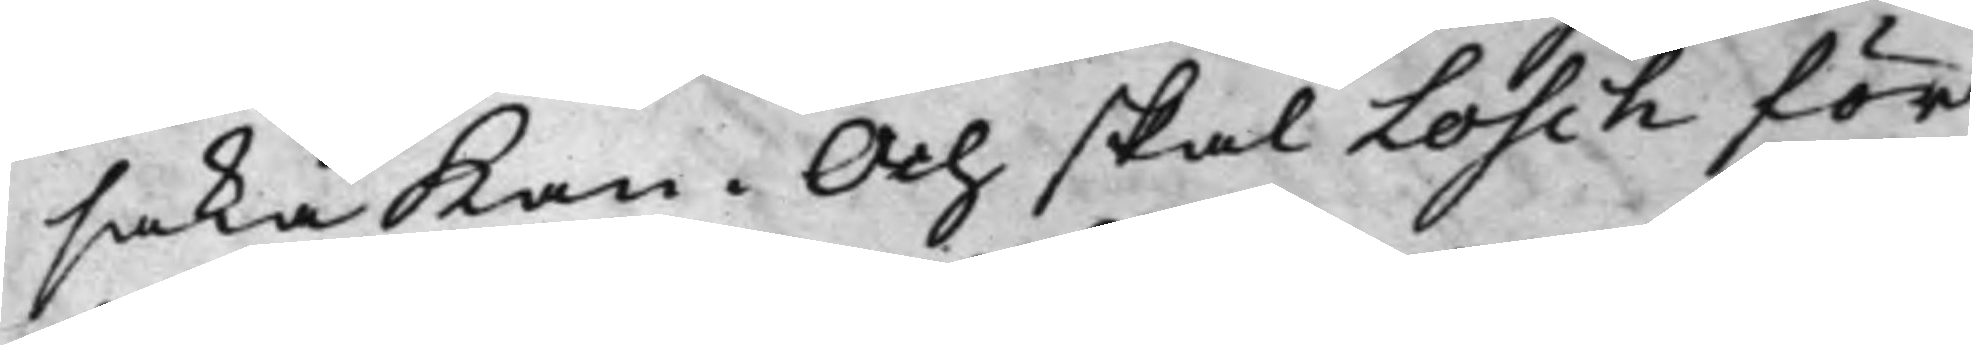saka Kan. Och skal Losch för
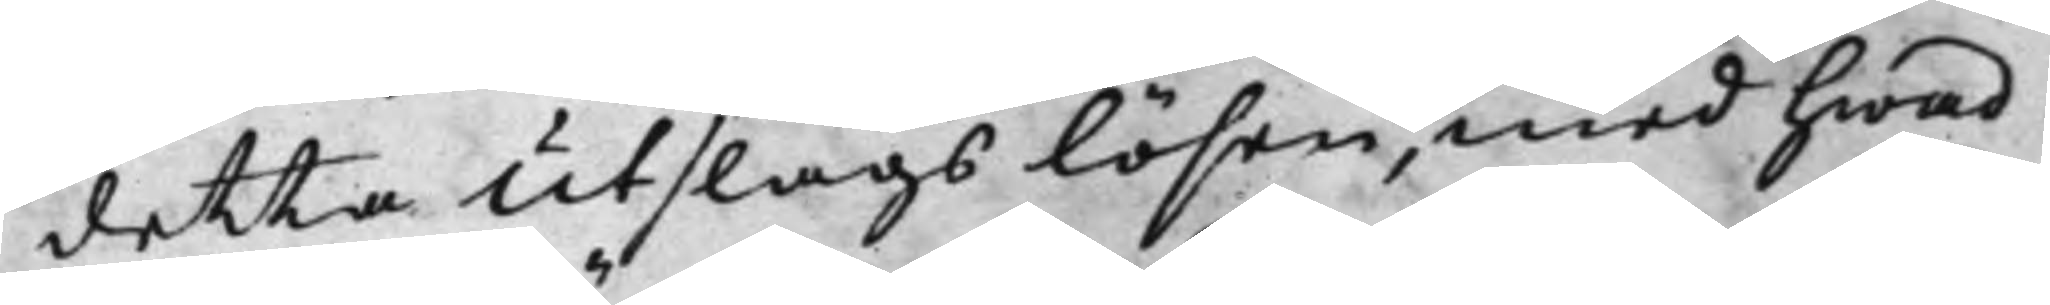detta Utslags lösen, med hwad
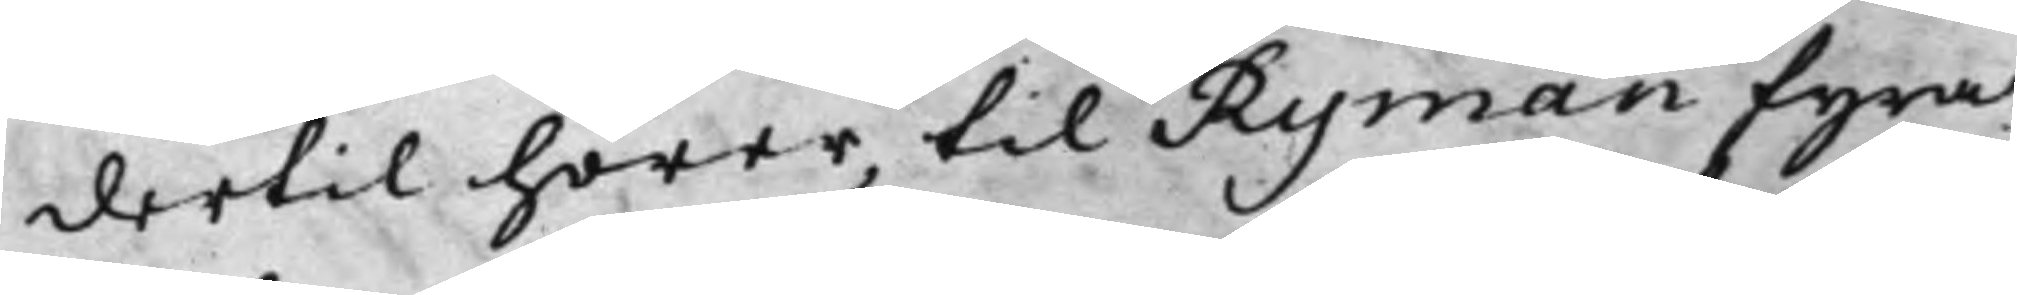dertil hörer, til Ryman fyra
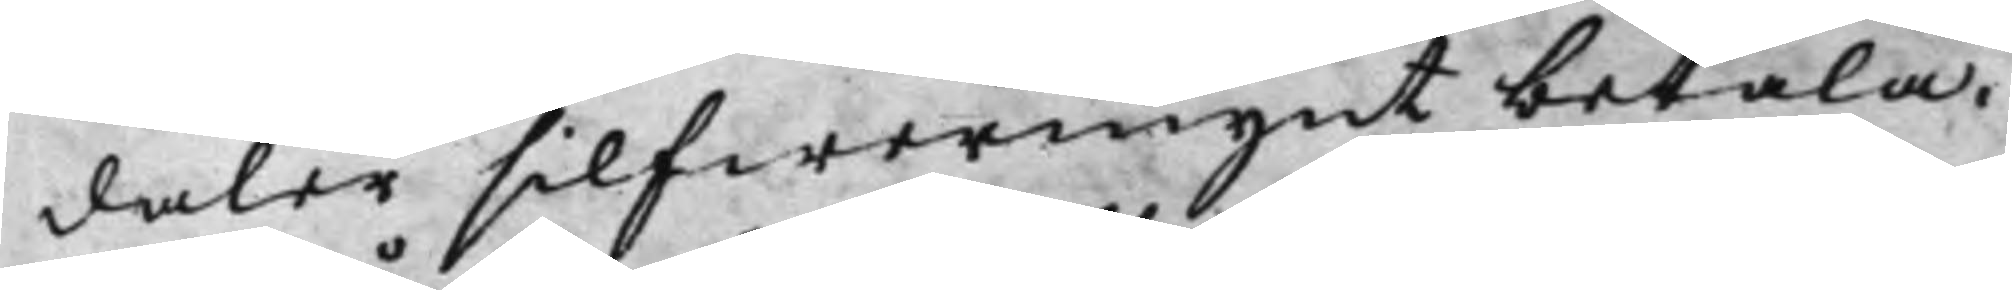daler silfwermynt betala.
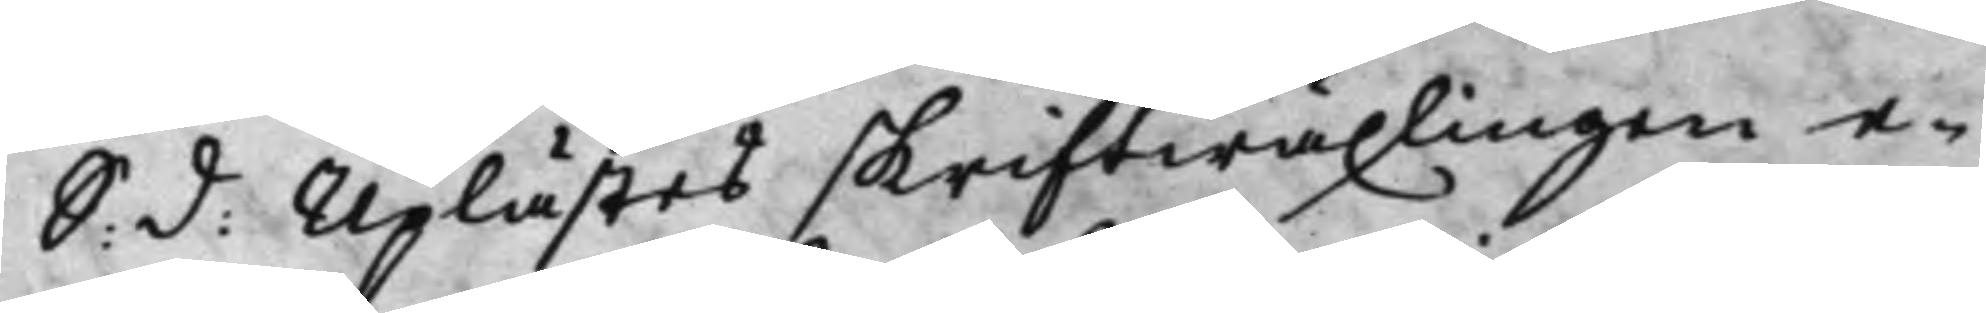S: d: Uplästes skriftwäxlingen e¬
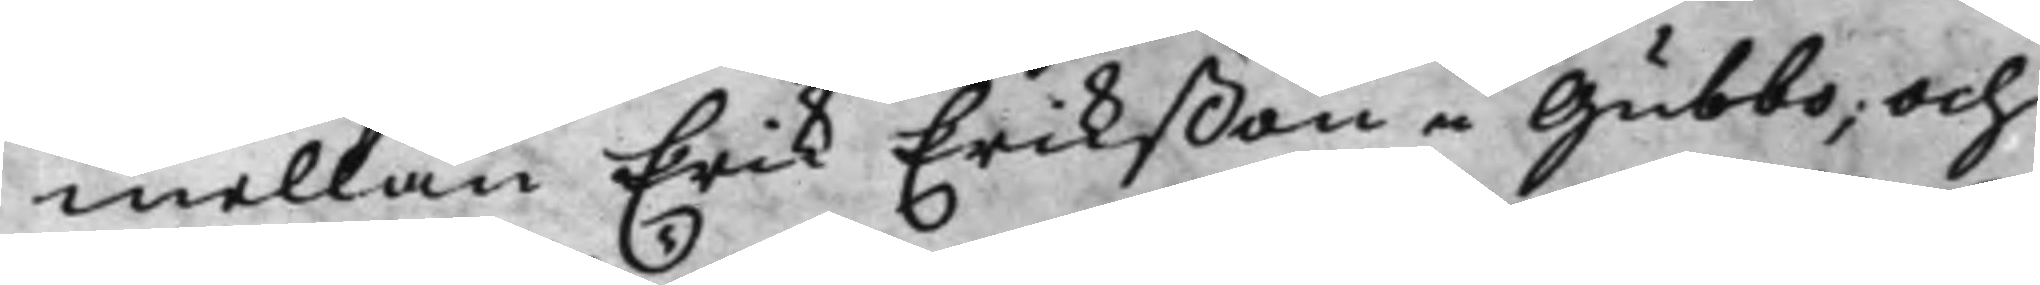mellan Erik Erikßon i Gubbo; Och
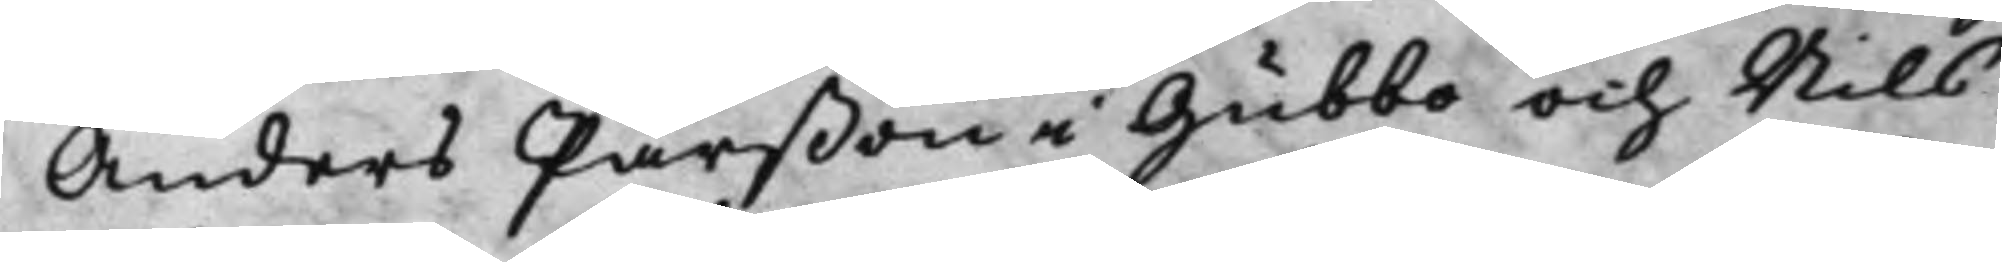Anders Pärßon i Gubbo och Nils
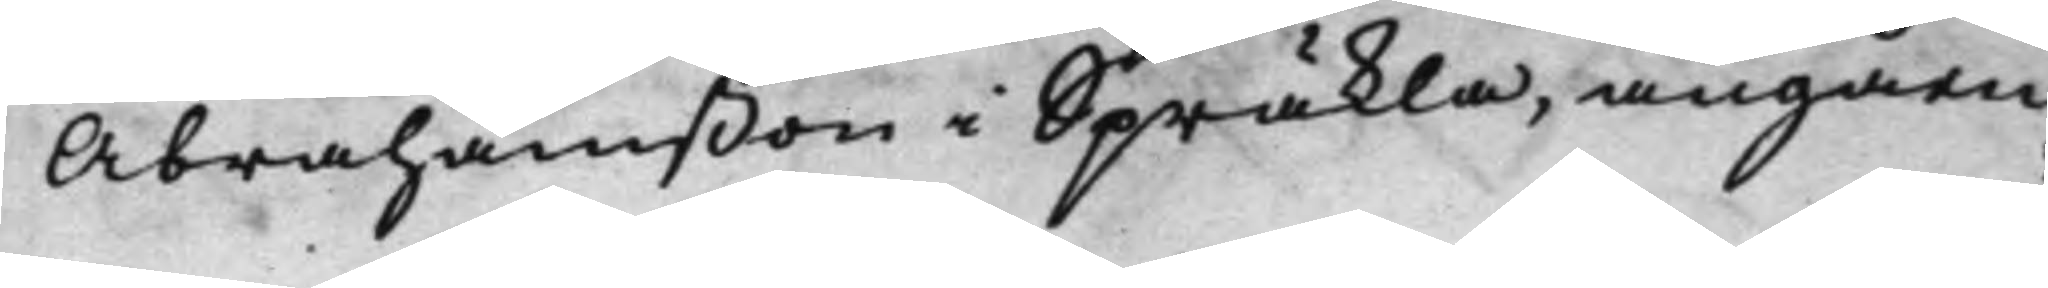Abrahamßon i Spräkla, angåen¬
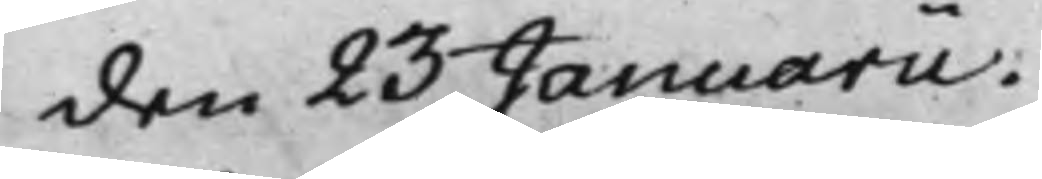den 23 Januarii.
